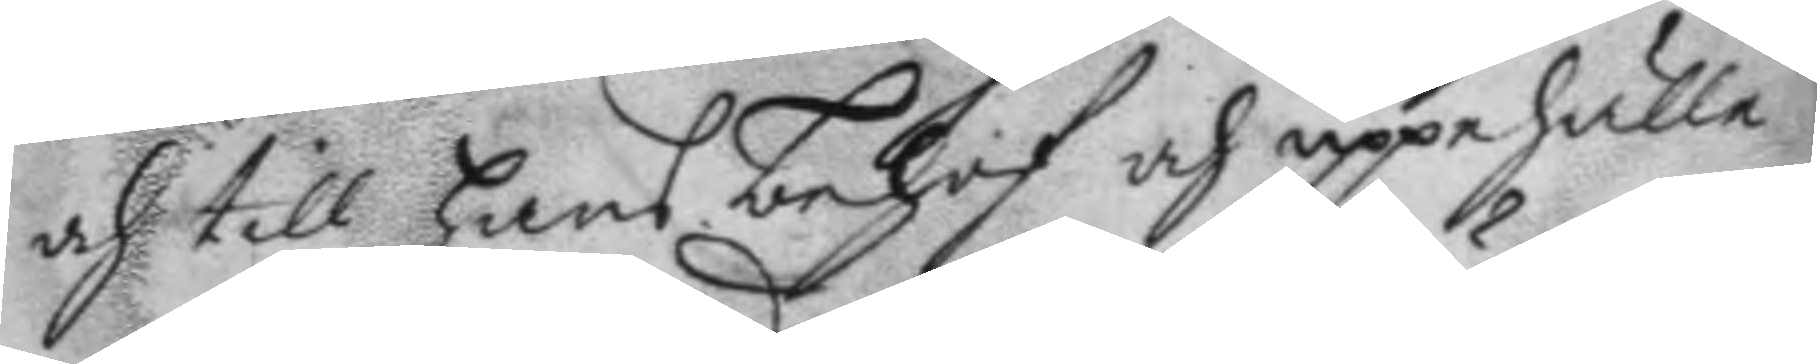och till hans behof och uppehälle
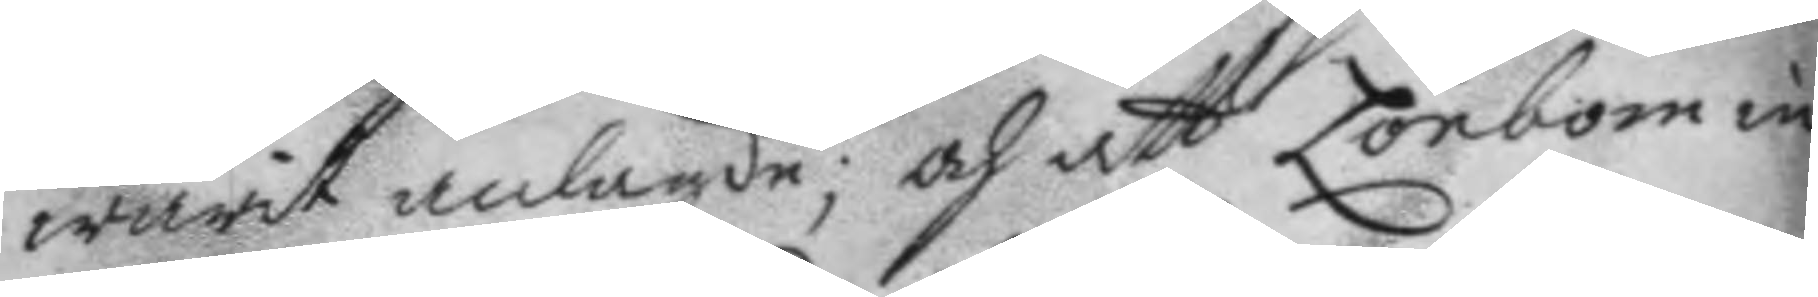warit anlagde; och att Lönbom in¬
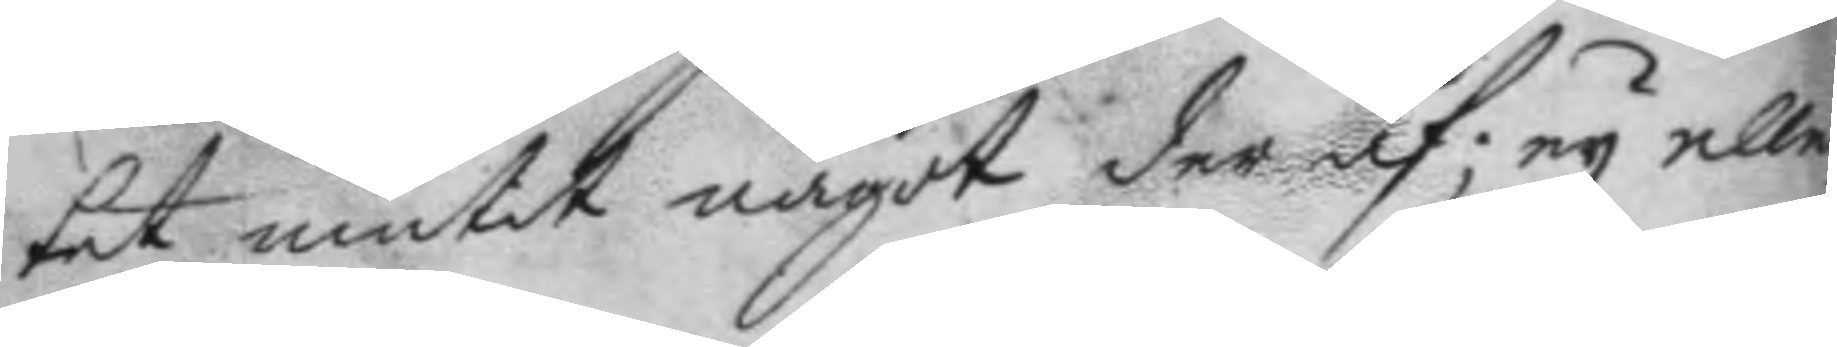tet niutit något der af; ey eller
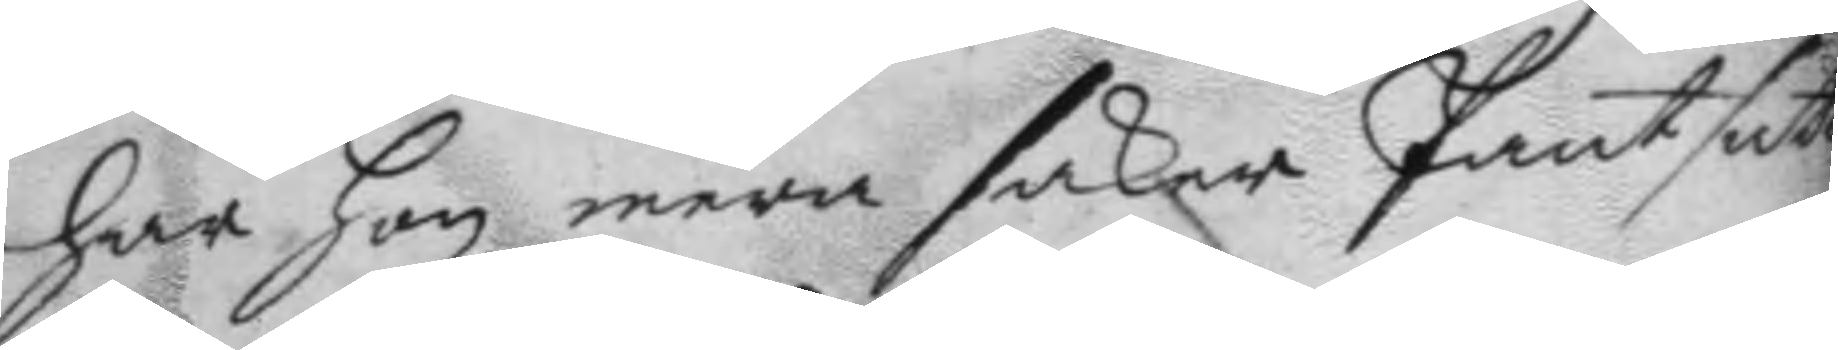har hon mera saker Pantsatt.
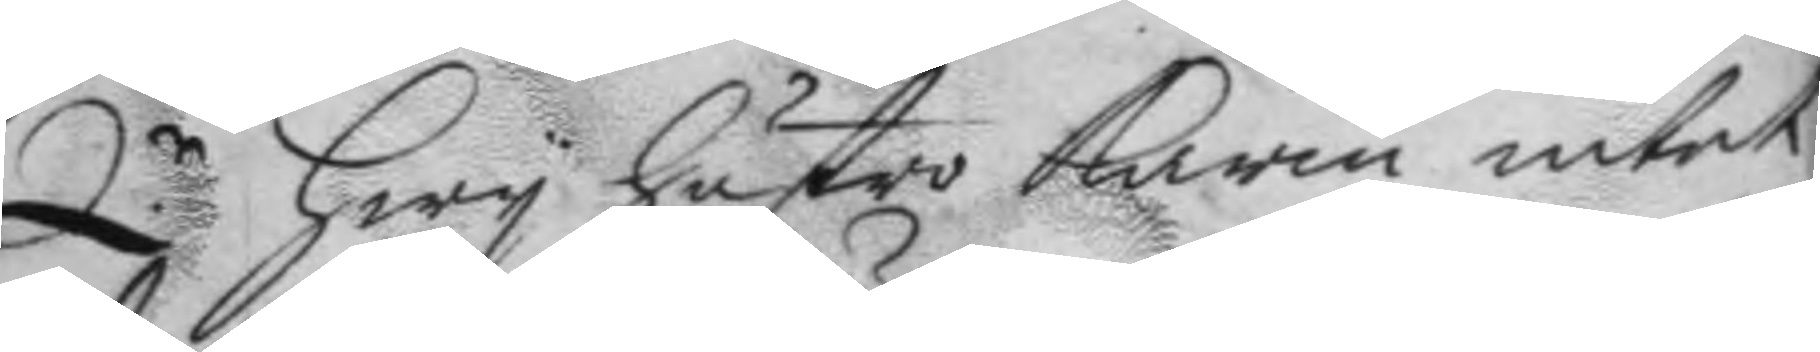Q.r hwy hustru Karin intet
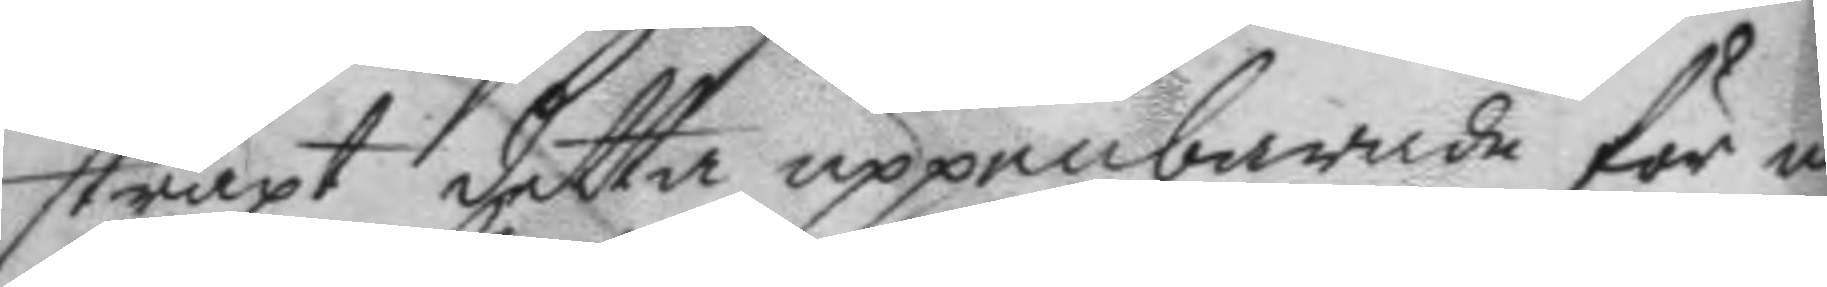straxt detta uppenbarade för nå¬
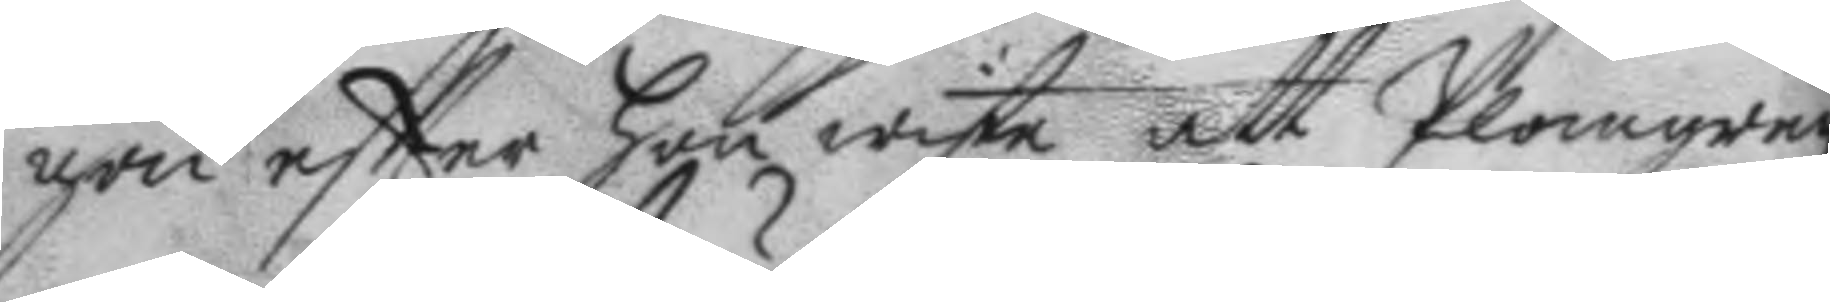gon eftter hon wiste att Plomgren
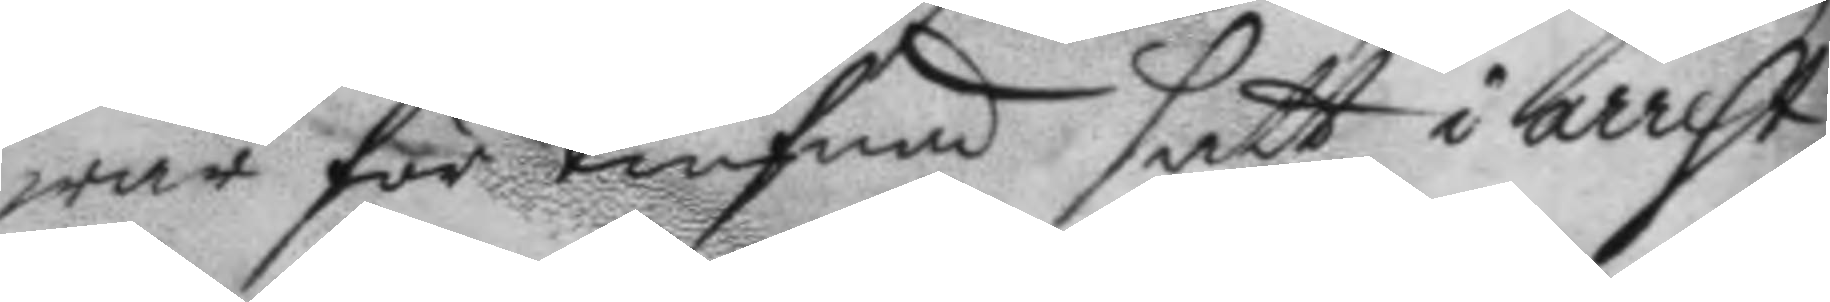war för tiufnad satt i arrest
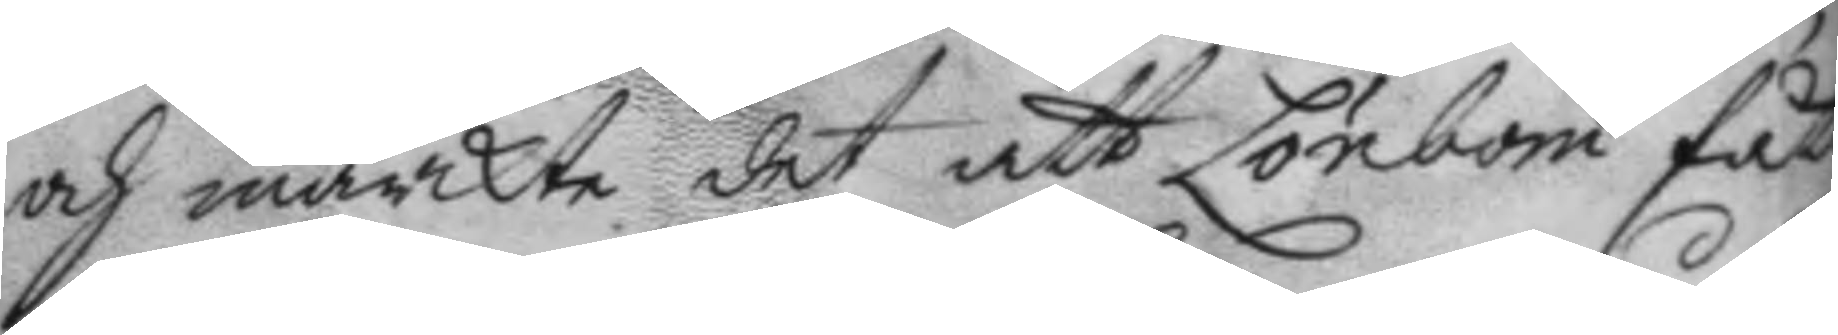och märckte det att Lönbom fått
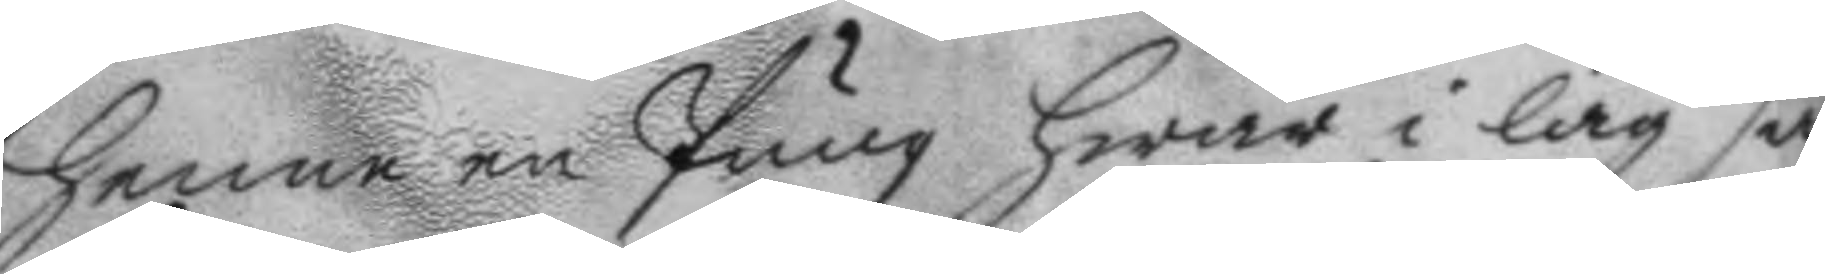henne en Pung hwar i låg så¬
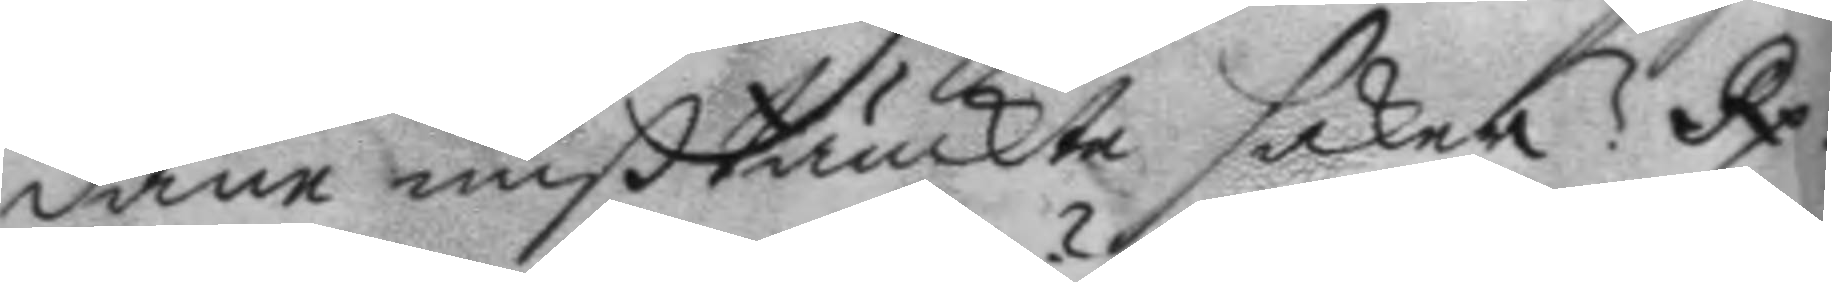dane mißtänckte saker? Rp.
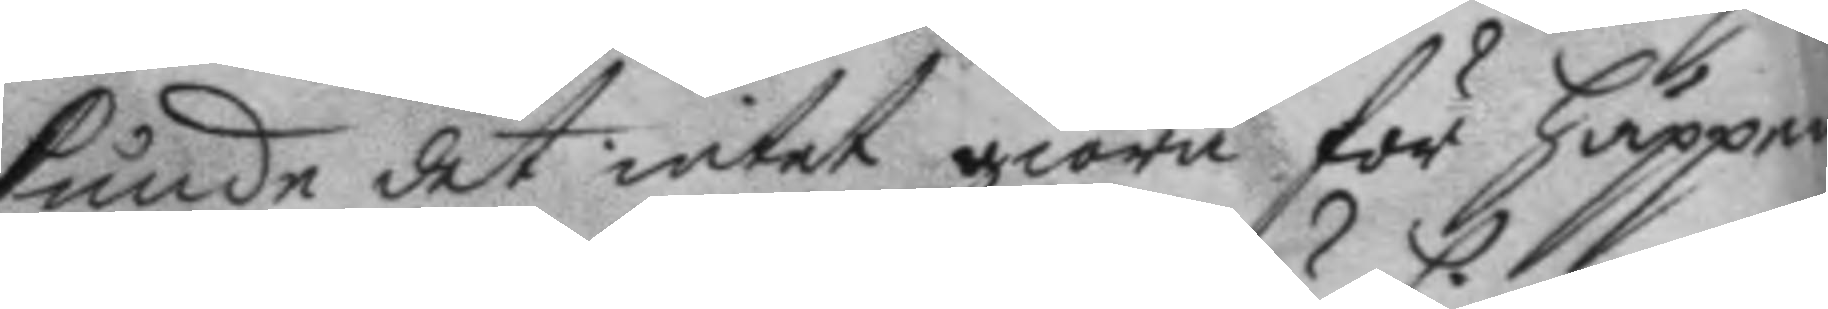kunde det intet giöra för häppen¬
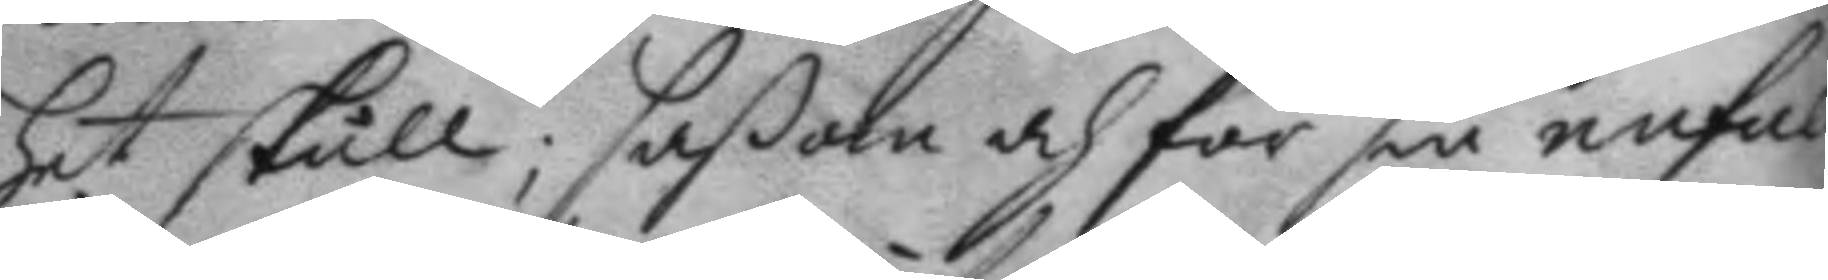het skull, såßom och för sin enfall¬
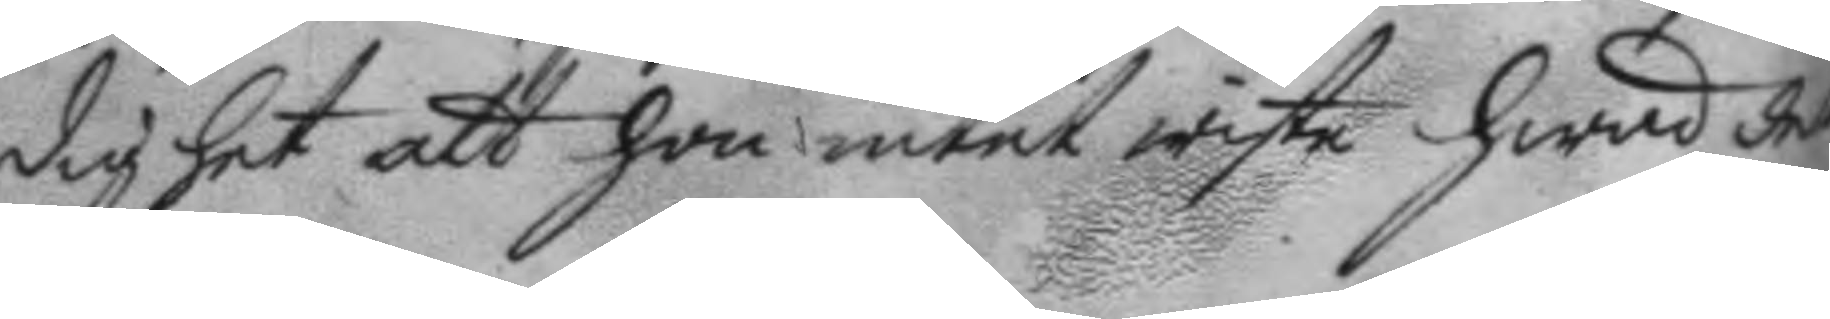dighet att hon intet wiste hwad det
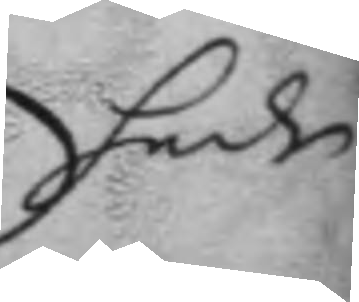hade
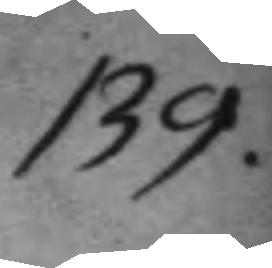139.
